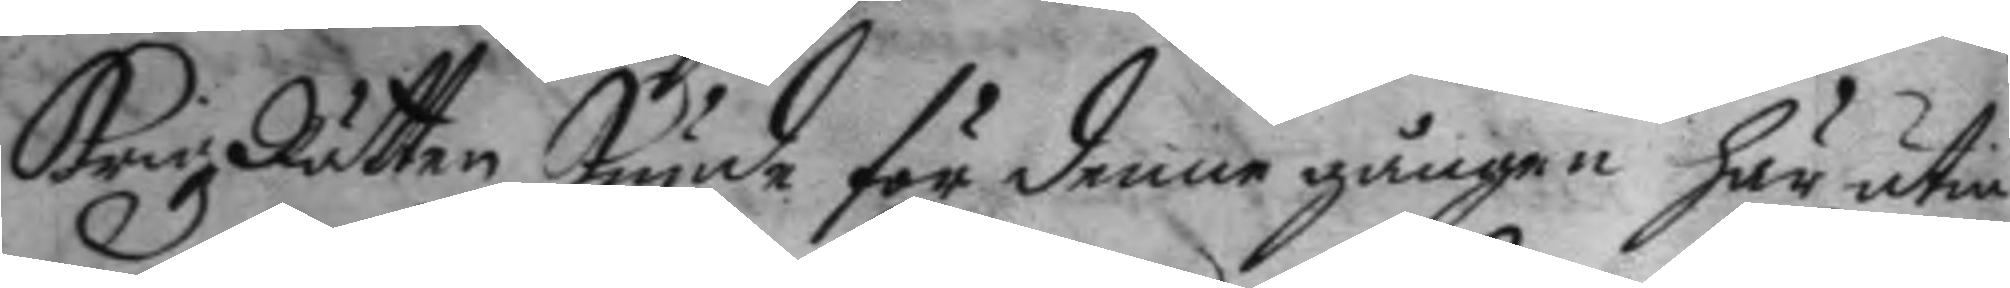KrigzRätten kunde för denne gången här utin¬
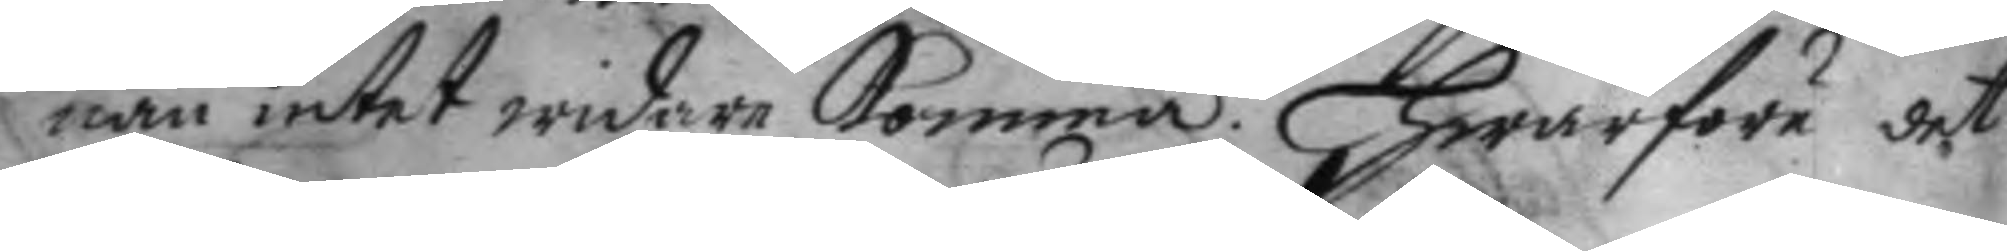nan intet widare Komma. Hwarföre det
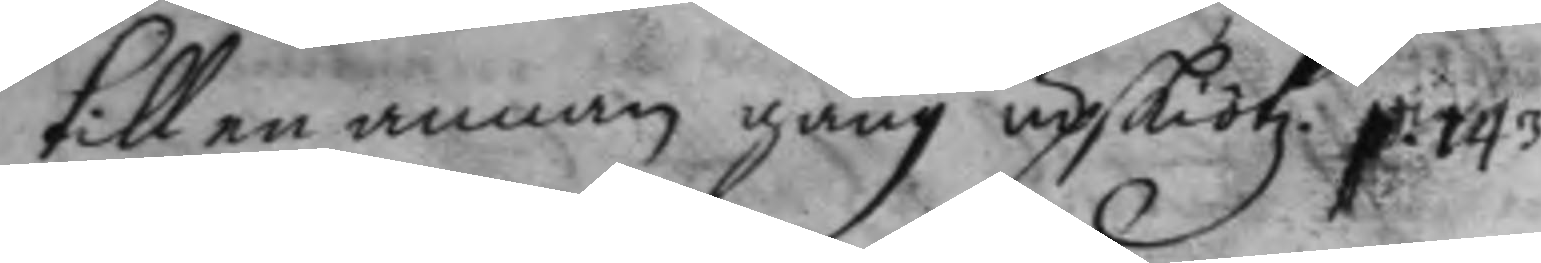till en annan gång upskötz. p. 143
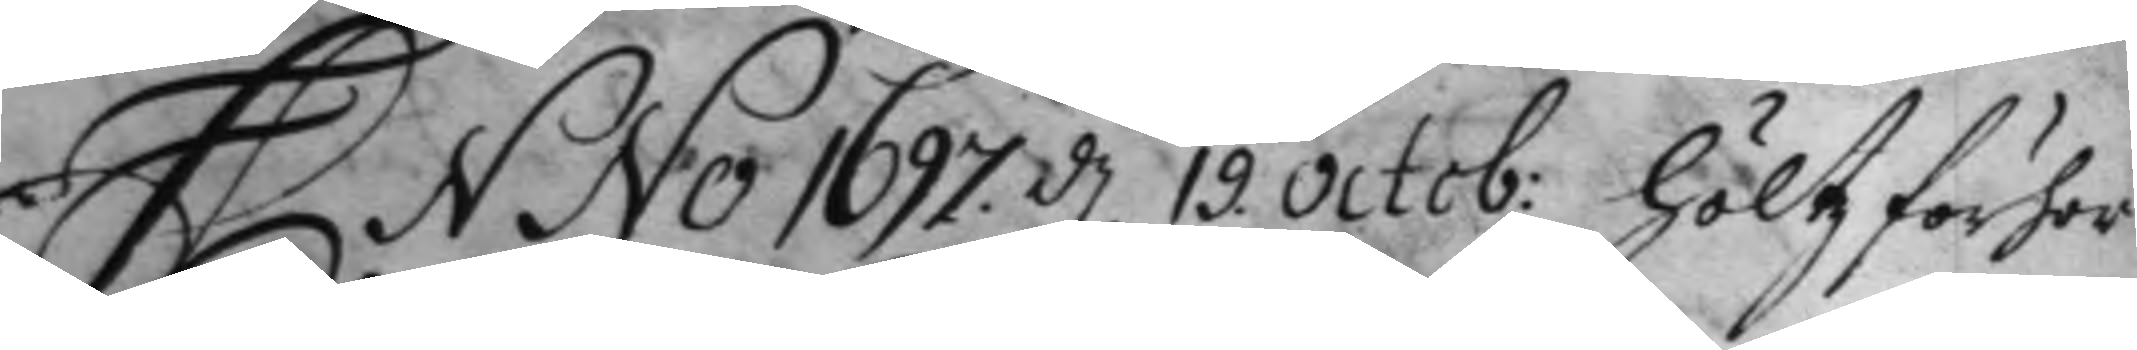Anno 1677 d 18 Octob: Höltz förhor 
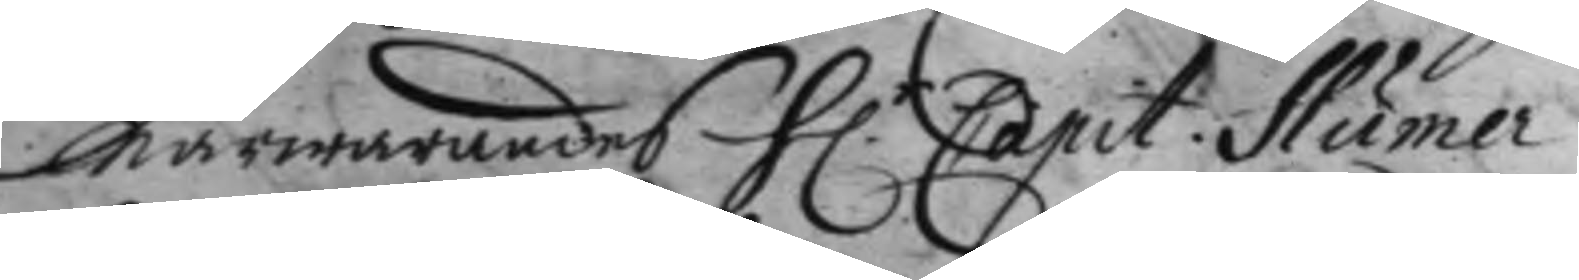närwarandes H.r Capit: Humer 
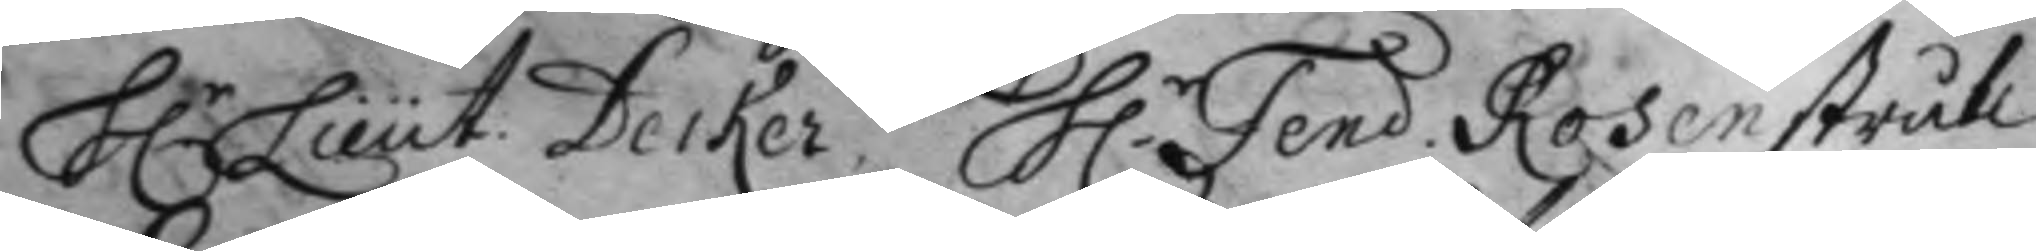H.r Lieut. Decker, H.r Fend. Rosenstråle 
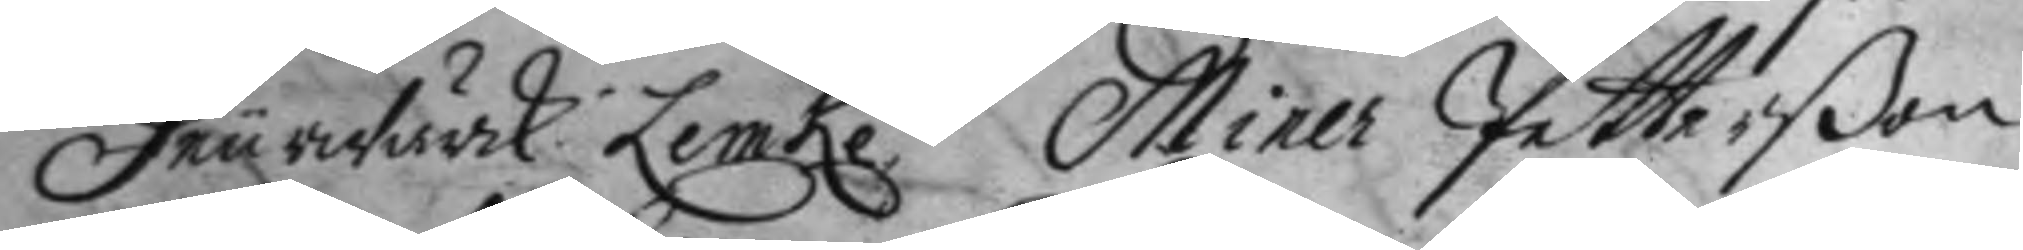Feurwärk. Lemke, Miner Petterßon
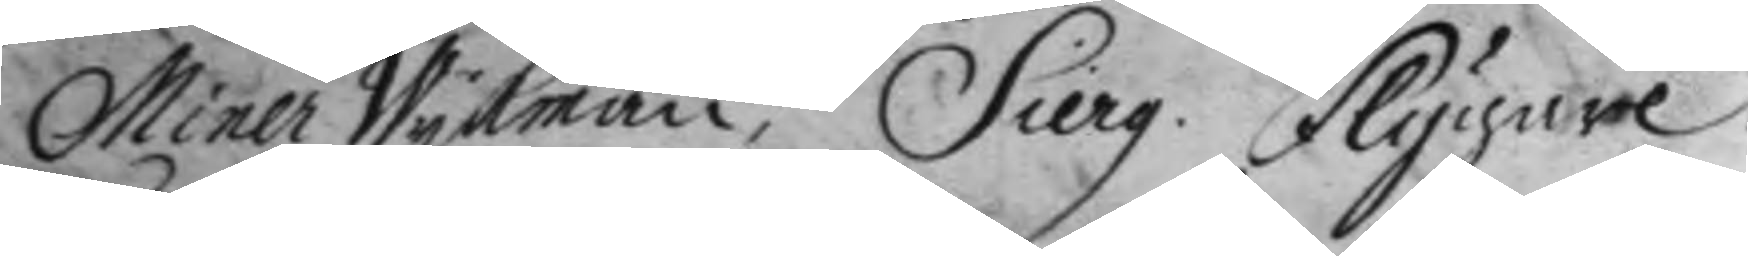Miner Wykman, Sierg. Flygare. 
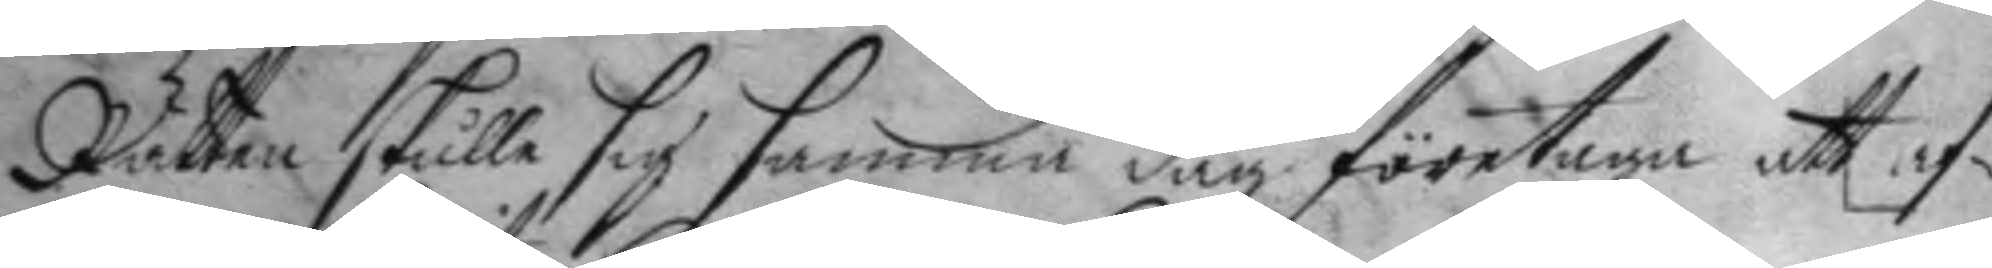Rätten skulle sig samma dag företaga att af¬
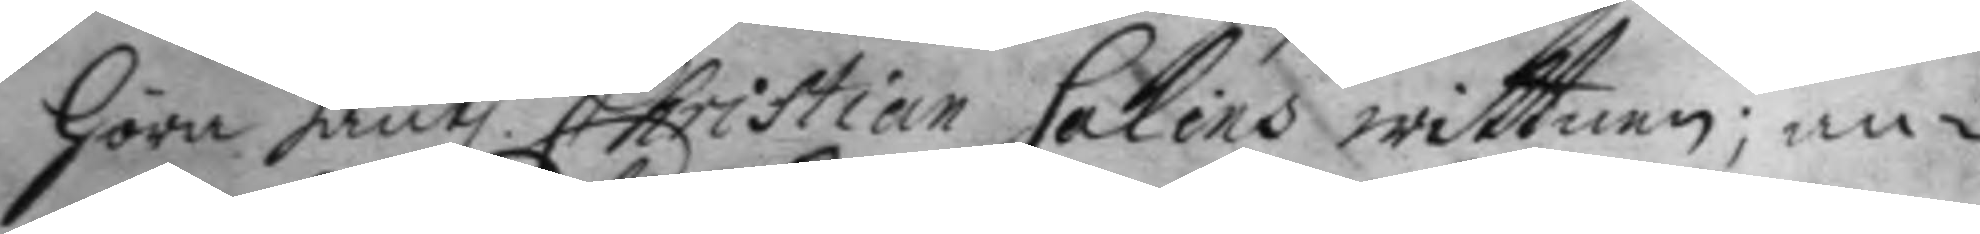Höra hantl. Christian Salins wittnen; an¬ 
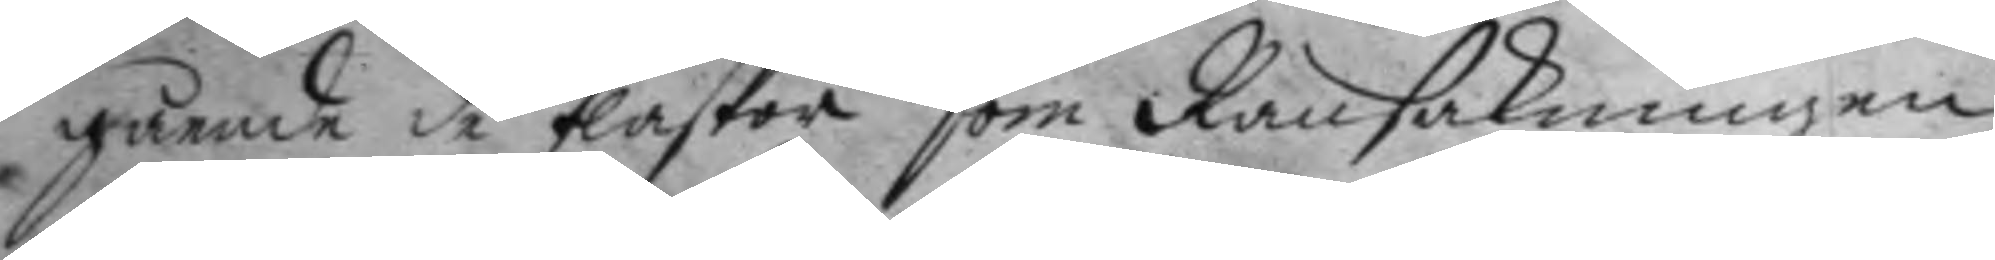gående de flaskor som Ransakningen
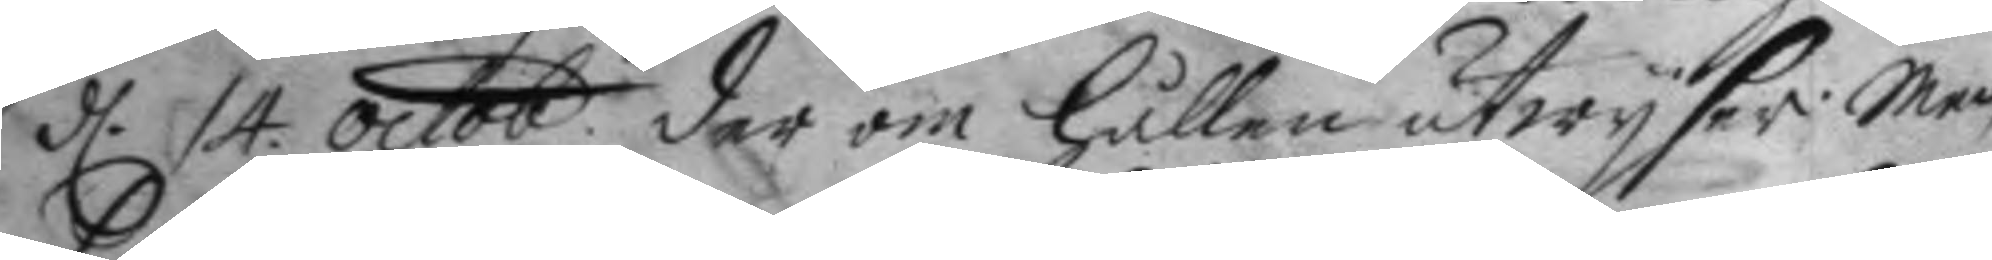d. 14 octob. der om Hållen utwyser. Men 
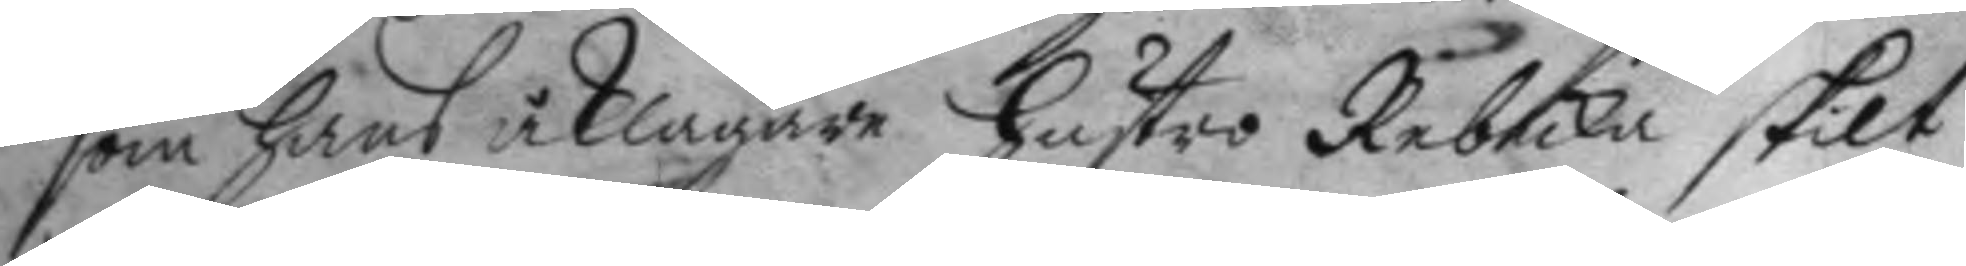som hans åklagare hustro Rebecka Skilt
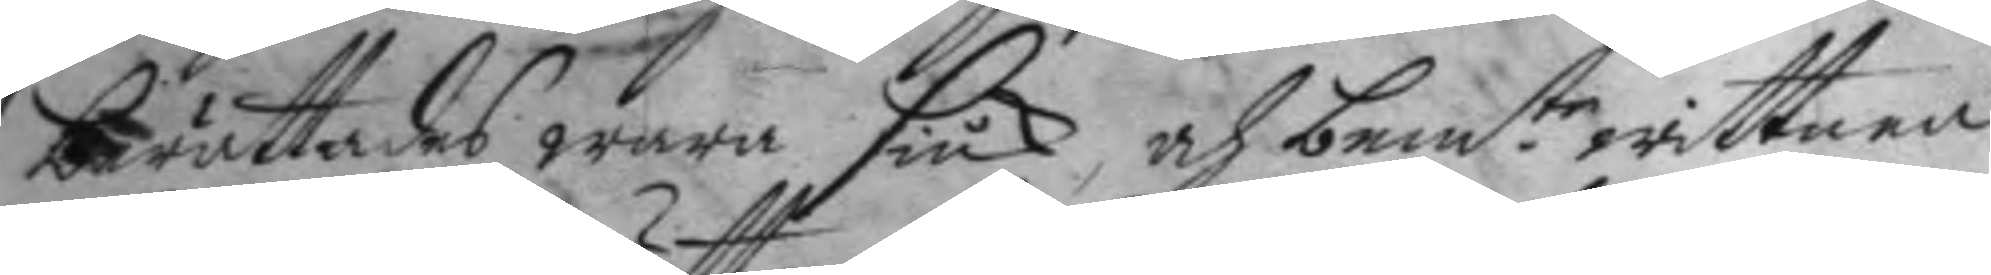berättades wara siuk, och bem.te wittnen 
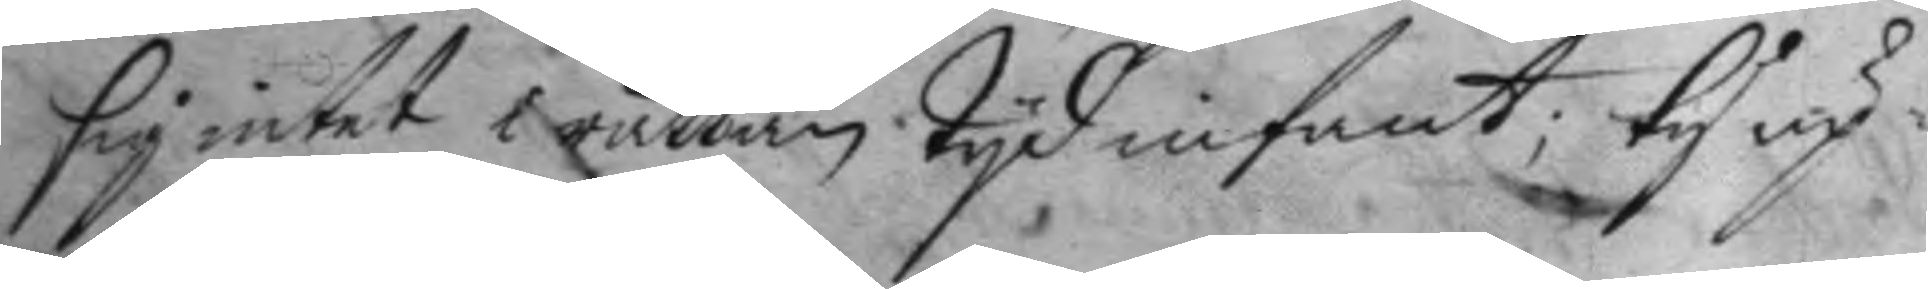sig intet i rättan tyd infant; ty up¬
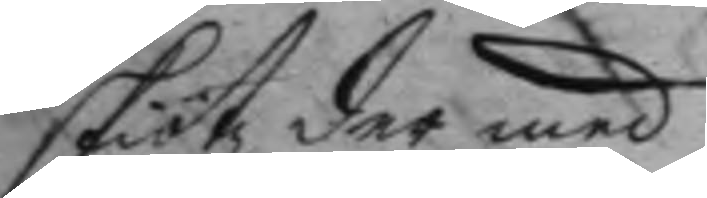skiötz der med.
